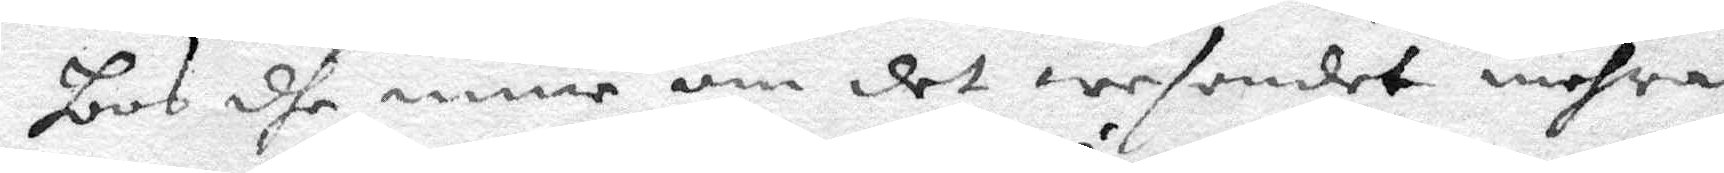hoos dhe mine om det wesendet mehra
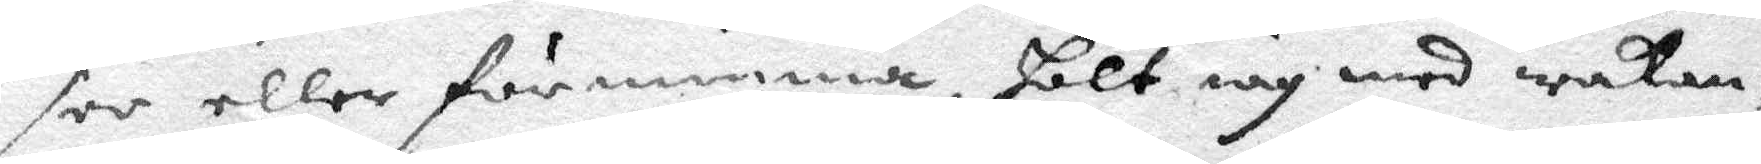see eller förnimma, hölt iag med wakan¬
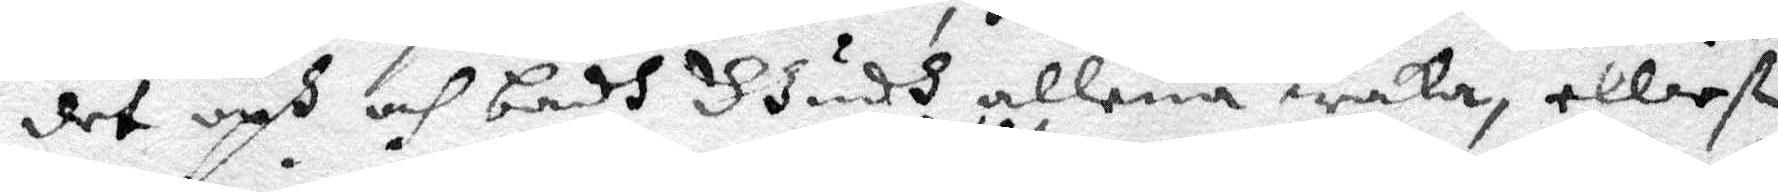det uph och badh Gudh allena waka elliest
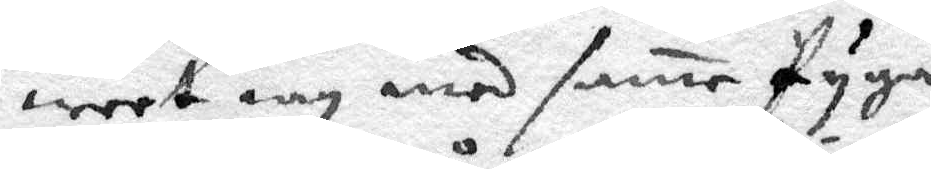weet iag med same Pyga
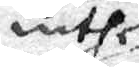inthet
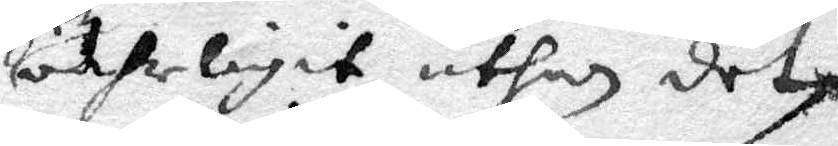oährligit uthan det
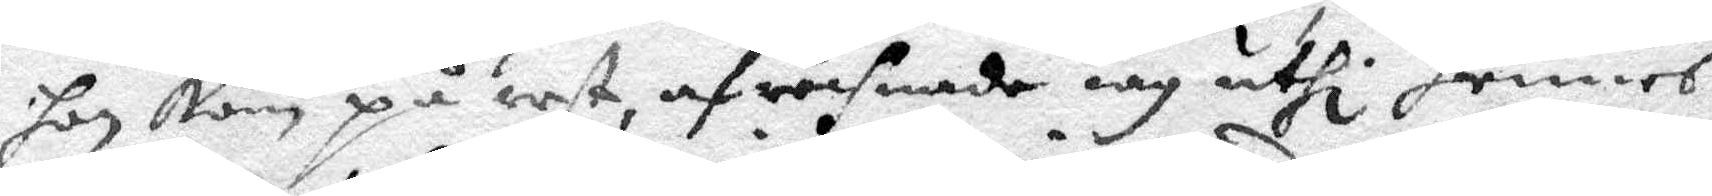hon kom på eest, afröhnade iag uthi hennes
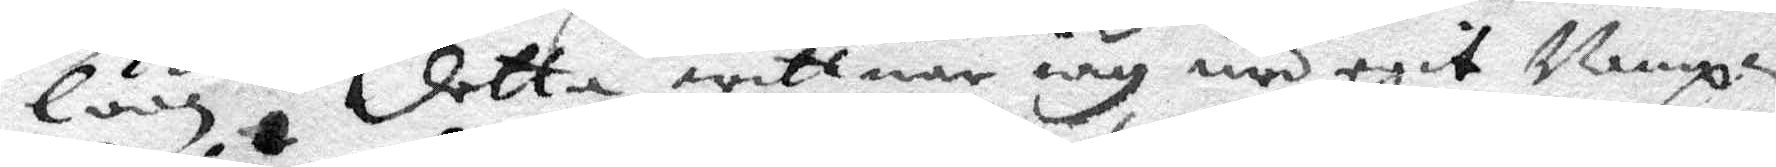lön, detta wittner iag med egit Nampn.
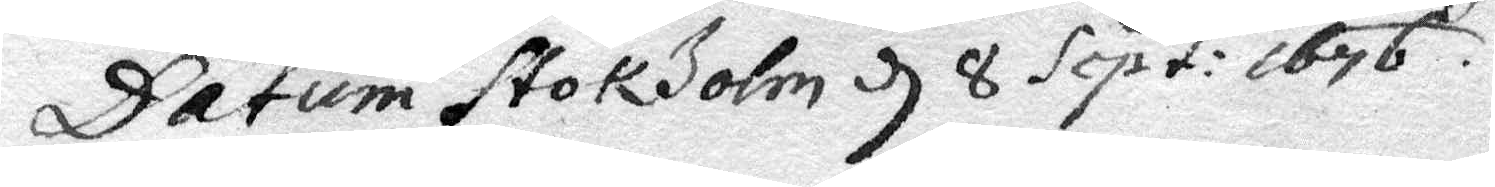Datum Stockholm d 8 Sept: 1676.
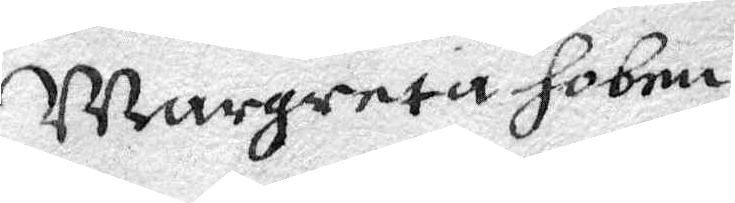Margareta Hobnu
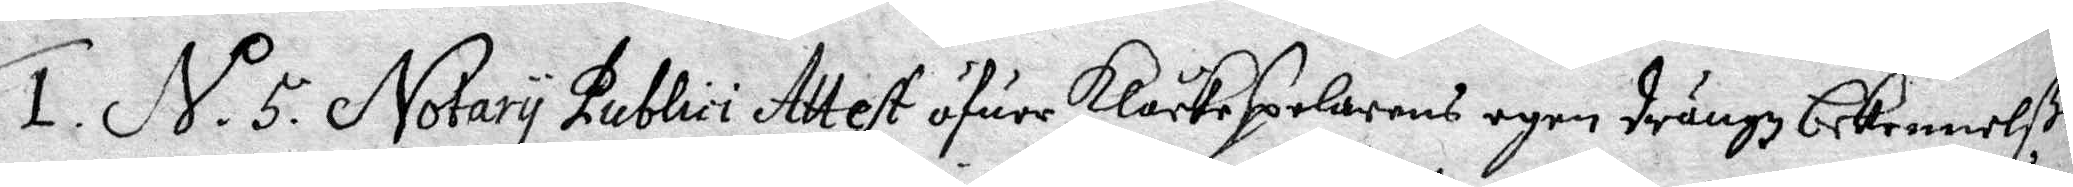1. N.o 5 Notary Publici Attest öfuer Klåckespelarens egen drängz bekennelße
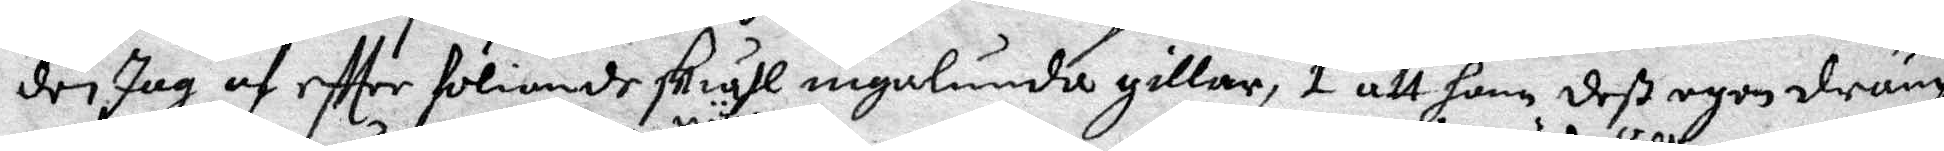der Jag af effter föliande skiähl ingalunda gillar, 1 att hann deß egen dräng
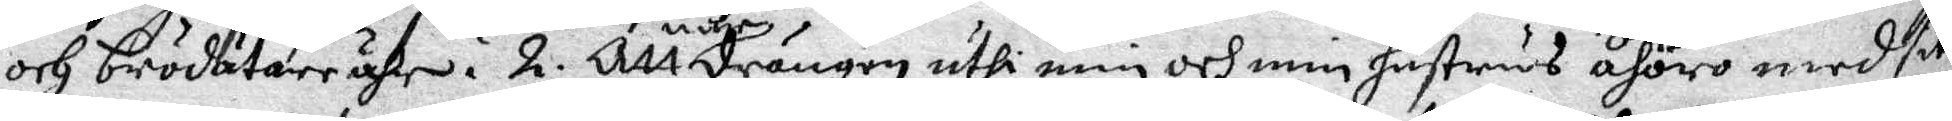och brödätare ähr. 2. Att när drängen uthi min och min hustrus åhöro med sitt
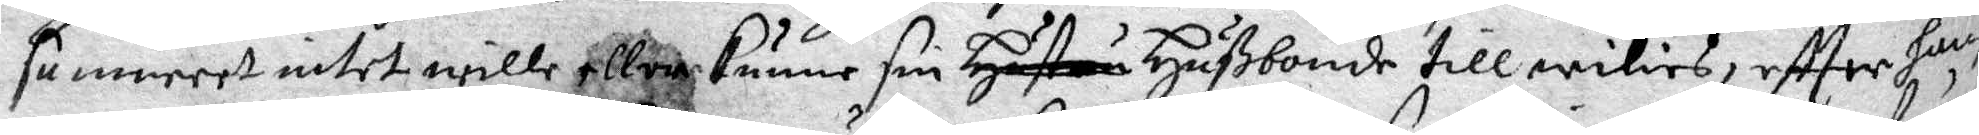samweet intet wille eller kunne son Husbonde till wilies, effter hans
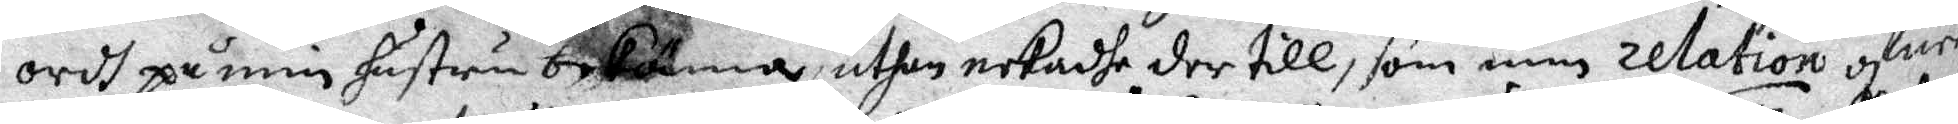ordh på min hustru bekänna, uthan nekadhe der till, som min relation ofuer
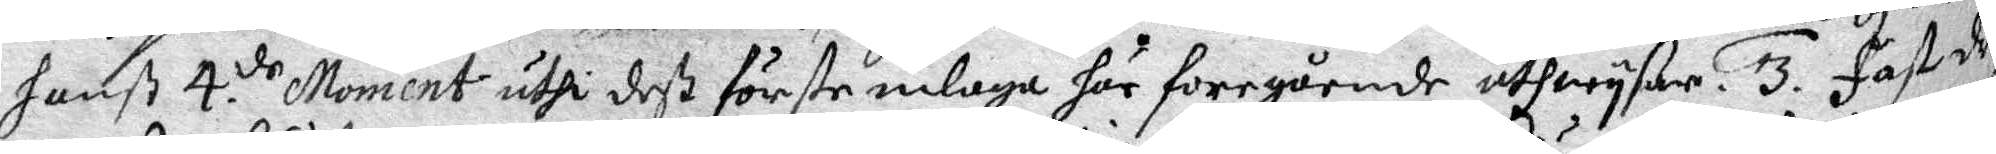hanß 4 de Moment uthi deß förste inlaga för foregående utwyßar. 3. fast drän¬
